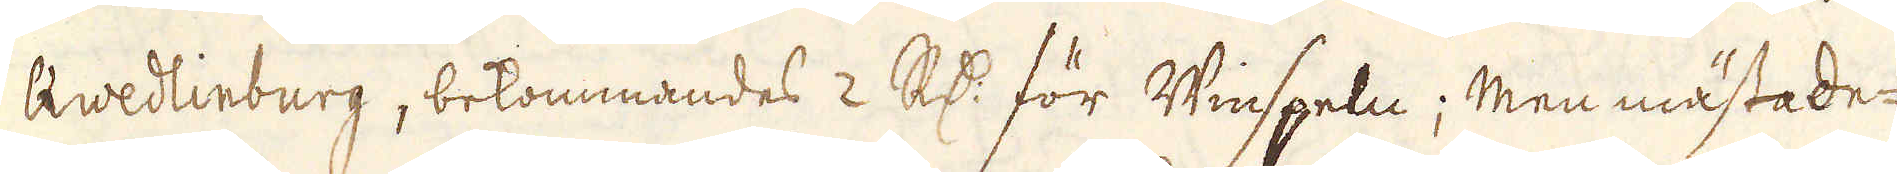Qwedlinburg, bekommandes 2 R:dr för Winspeln; Men mästade-
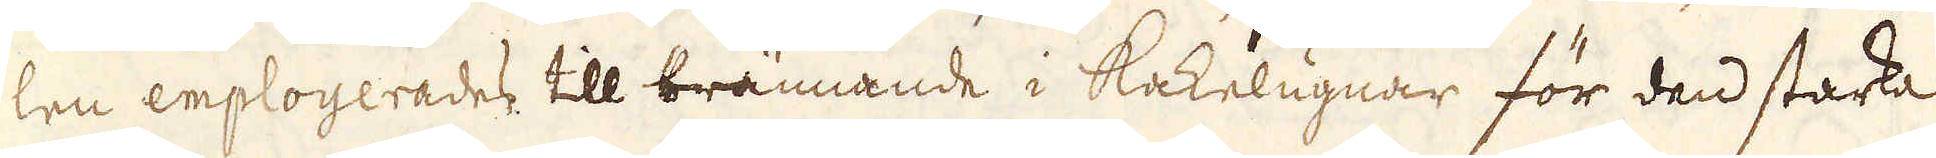len employerades till brännande i Kakelugnar för den starka
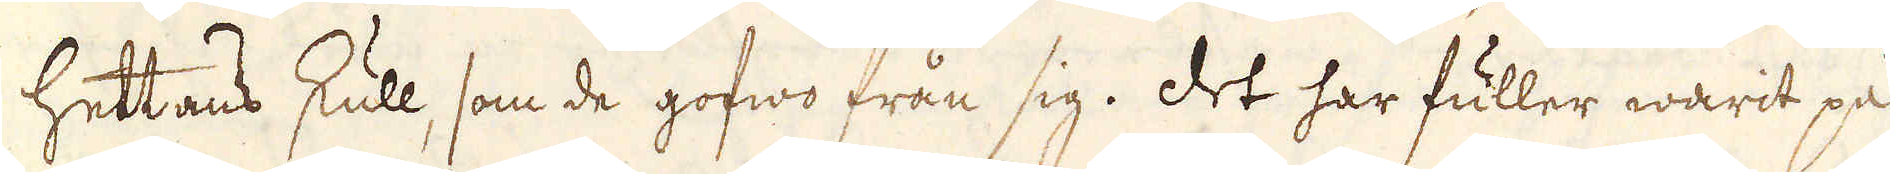hettans skull, som de gofwo från sig. Det har fuller warit på
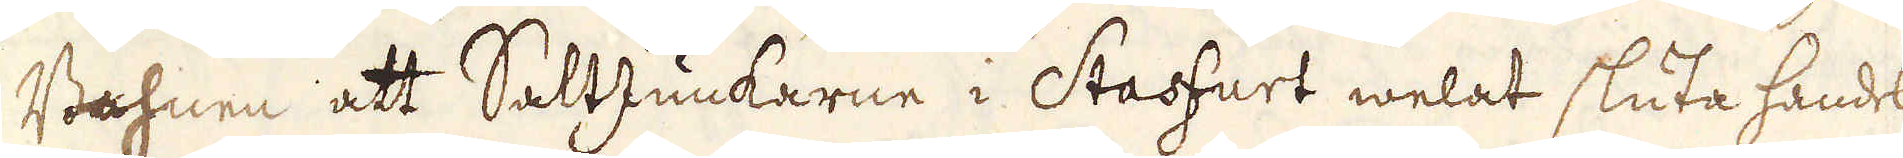Bahnen att SaltJunkarne i Stasfurt welat sluta handel
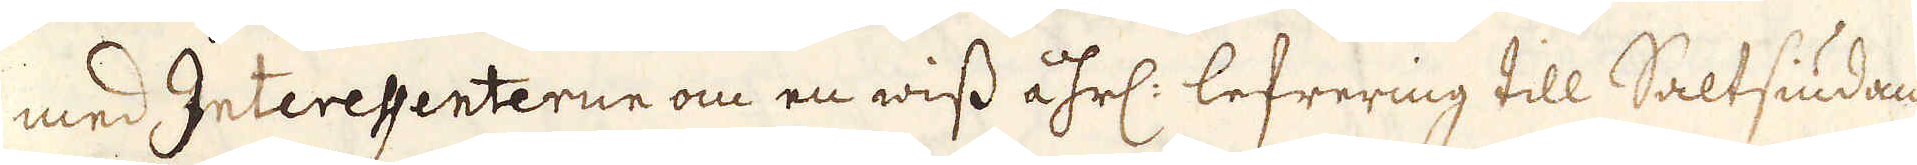med Interessenterne om en wiss åhrl: lefrering till Saltsiudan-
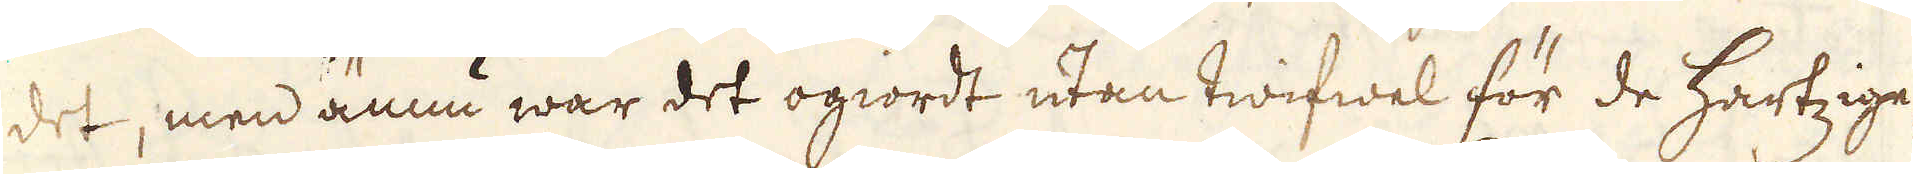det, men ännu war det ogiordt utan twifwel för de Hartzige-
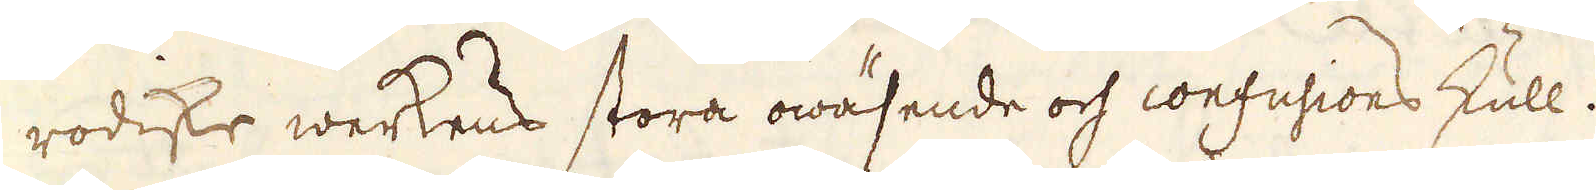rodiske werkens stora owäsende och confusions skull.
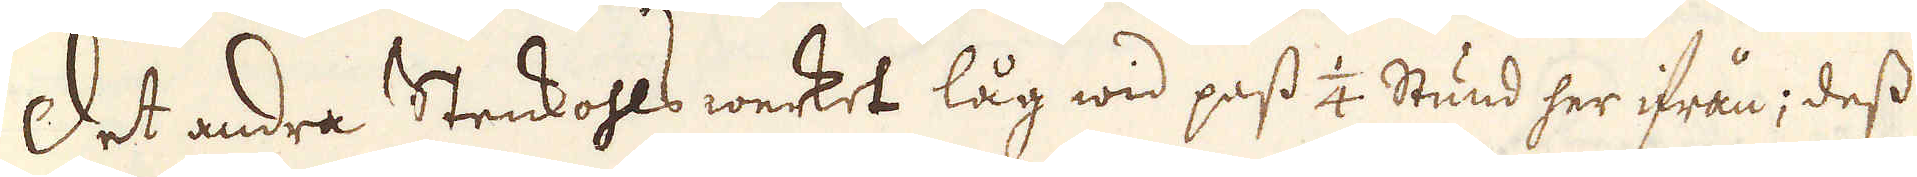Det andra Stenkohls werket låg wid pass 1/4 Stund her ifrån; dess
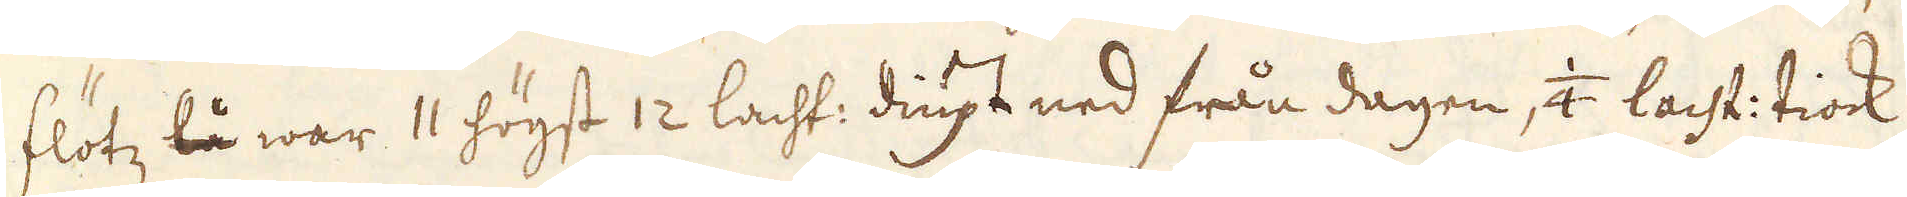flötz lå war 11 högst 12 lacht: diupt ned från dagen, 1/4 lacht: tiock
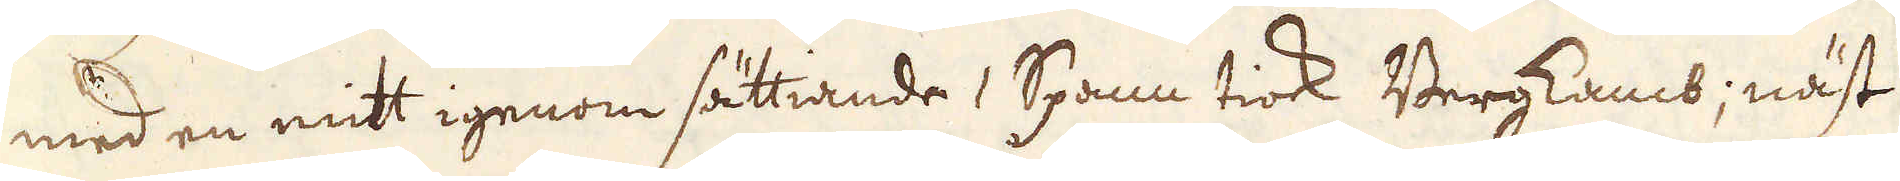med en mitt igenom sättiande 1 Spann tiock Bergkamb; näst
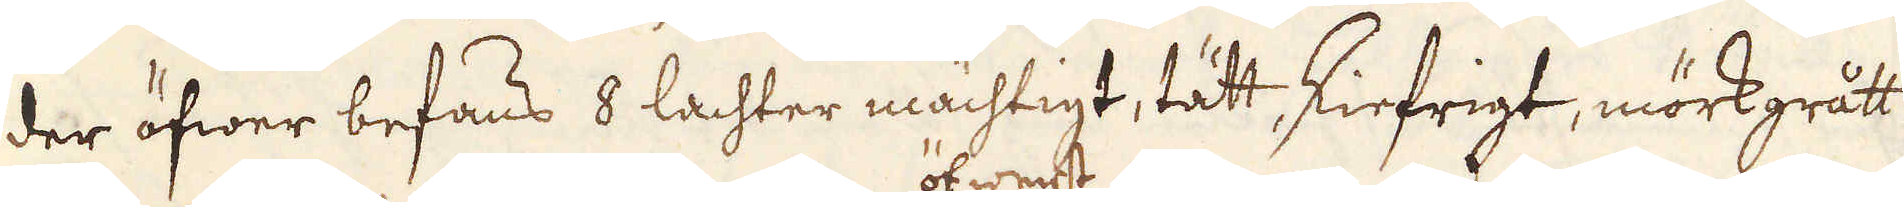der öfwer befanns 8 lachter mächtigt, tätt skiefrigt, mörkgrått
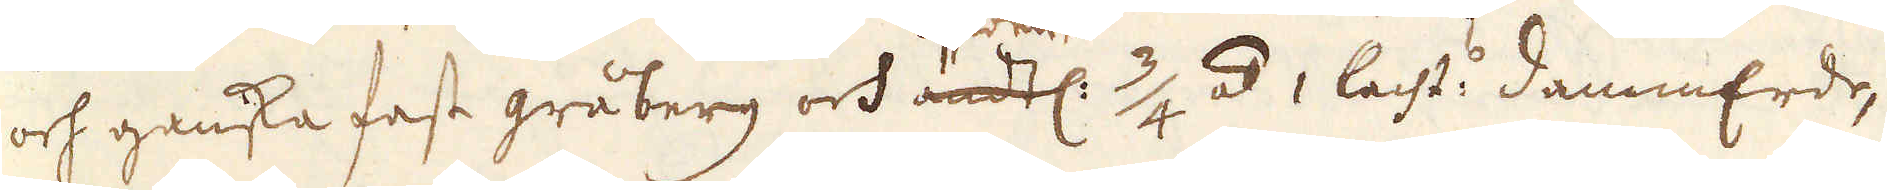och ganska fast gråberg och ändtl. öfwerst 3/4 á 1 lacht: dammErde,
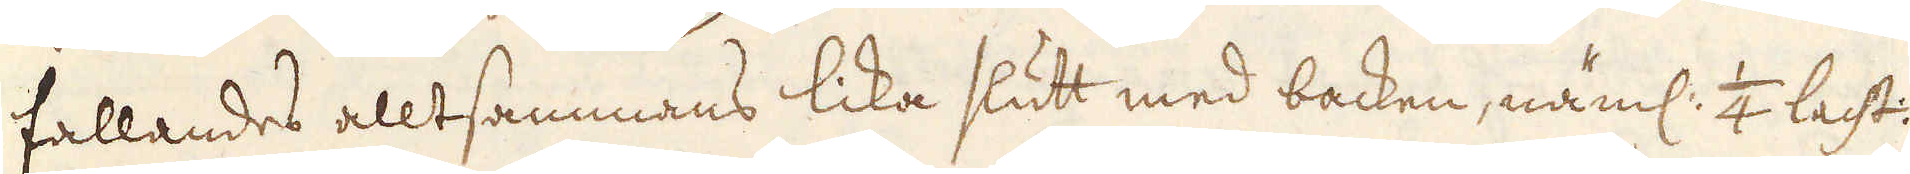fallandes alltsammans lika slutt med backen, näml: 1/4 lacht:
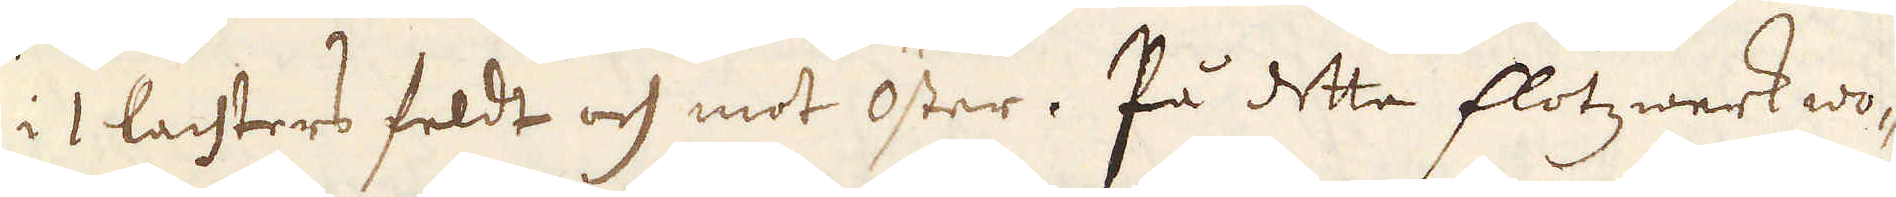i 1 lachters feldt och mot Öster. På detta flötzwerk wo-
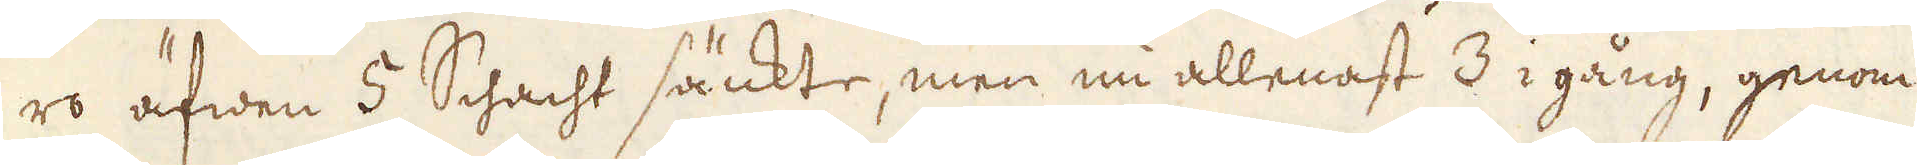ro äfwen 5 Schacht sänkte, men nu allenast 3 i gång, genom
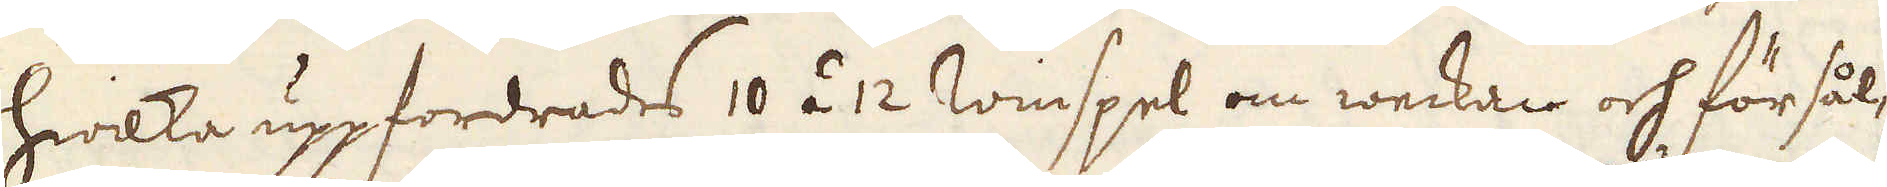hwilka uppfordrades 10 á 12 Winspel om weckan och försål-
